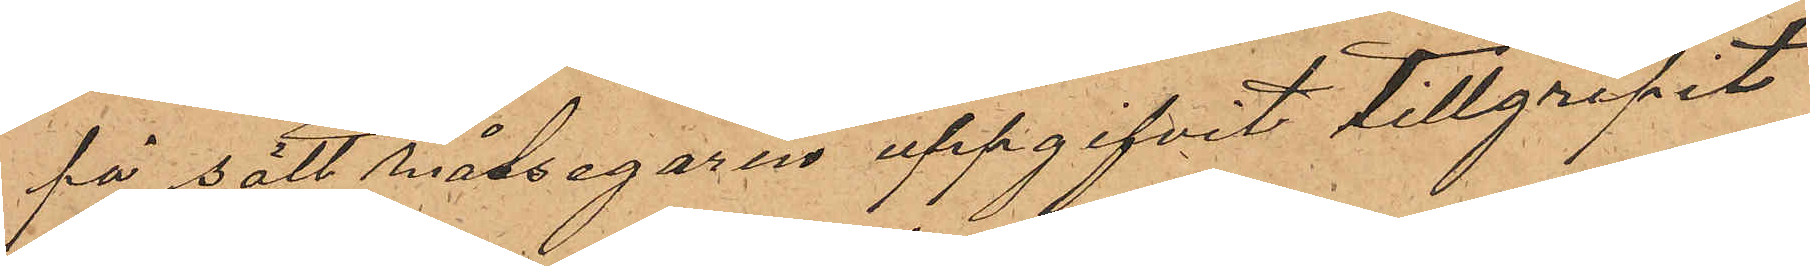på sätt målsegaren uppgifvit tillgripit
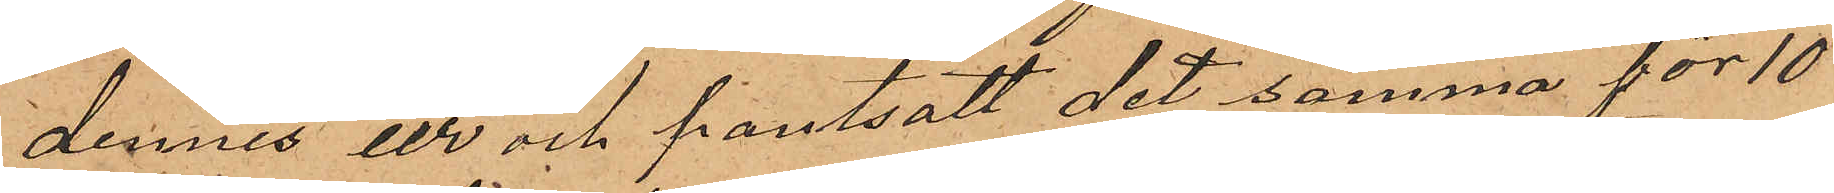dennes ur och pantsatt det samma för 10
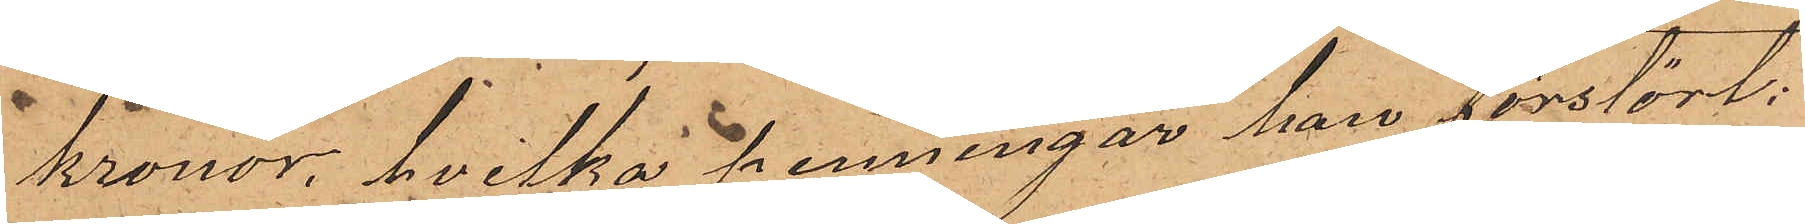Kronor, hvilka penningar han förstört;
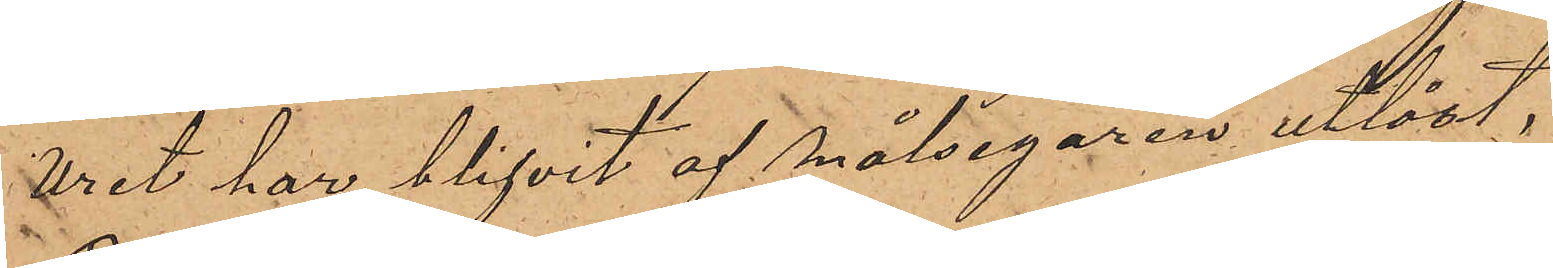Uret har blifvit af målsegaren utlöst.
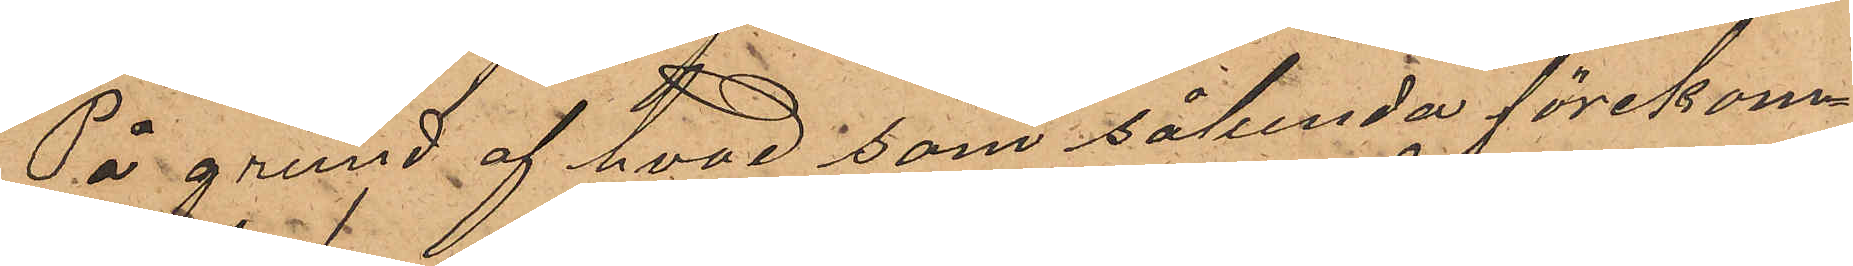På grund af hvad som sålunda förekom¬
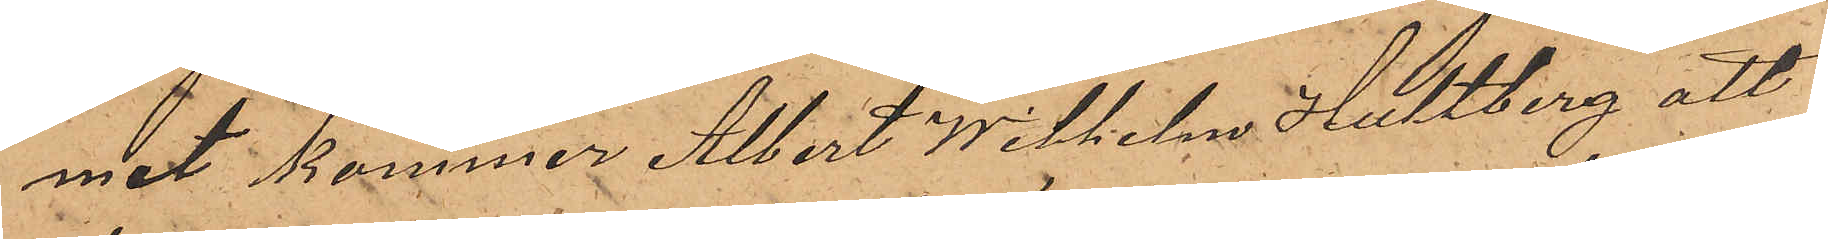mit kommer Albert Wilhelm Hultberg att
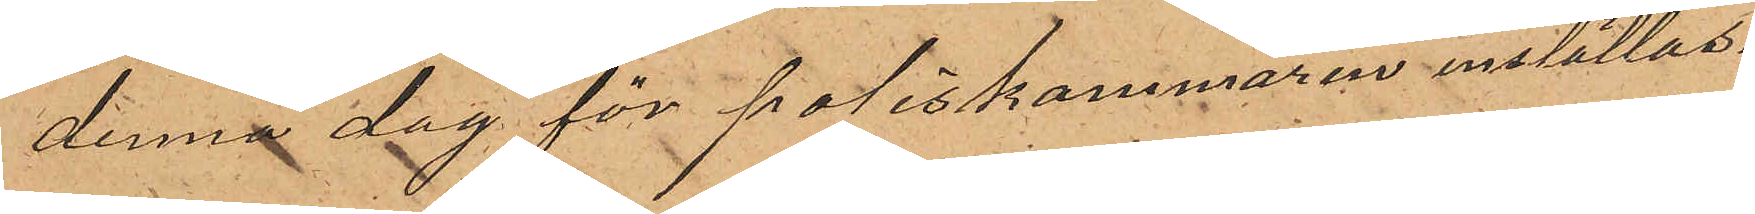denna dag för poliskammaren inställas.
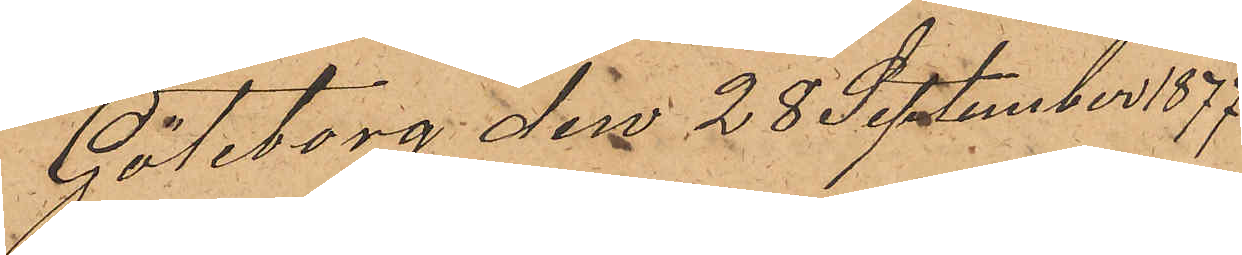Göteborg den 28 September 1877
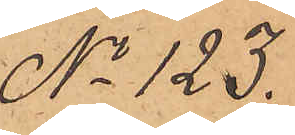No 123.
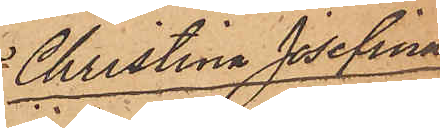Christina Josefina
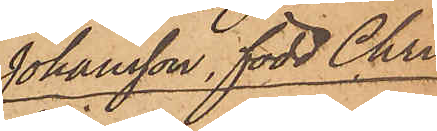Johansson, född Chri¬
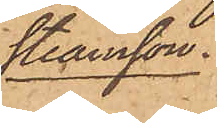tiansson.
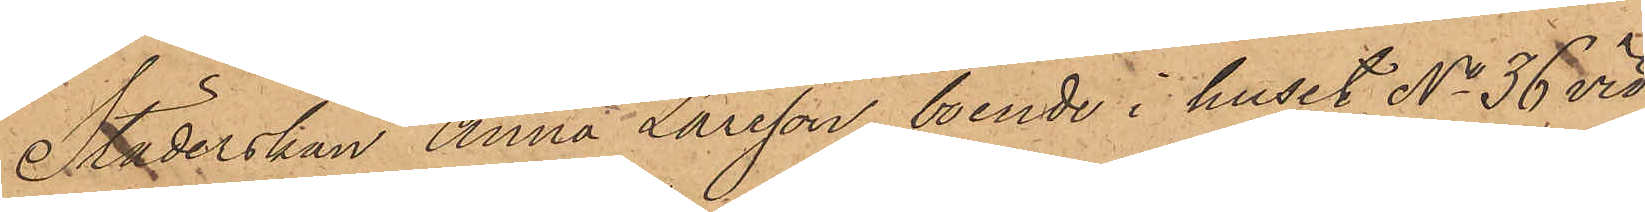Städerskan Anna Larsson, boende i huset No 36 vid
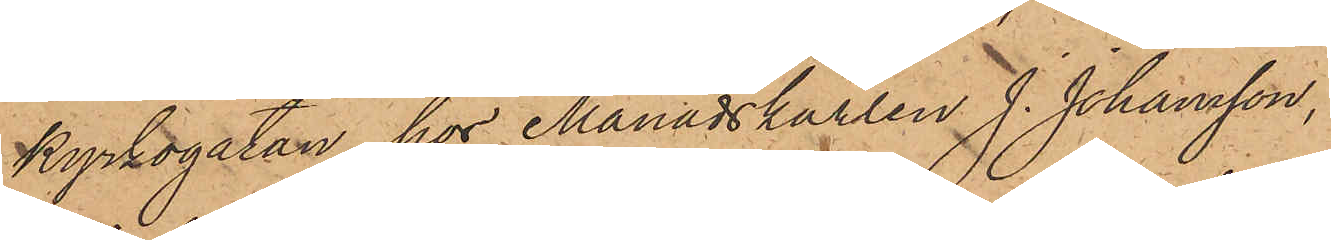Kyrkogatan hos Månadskarlen J. Johansson,
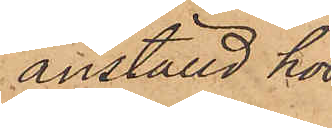anställd hos
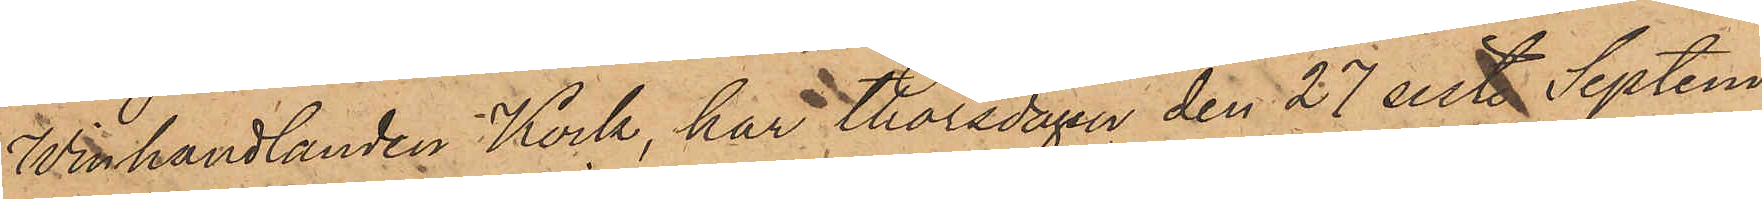Winhandlanden Kock, har Thorsdagen den 27 sist. Septem¬
